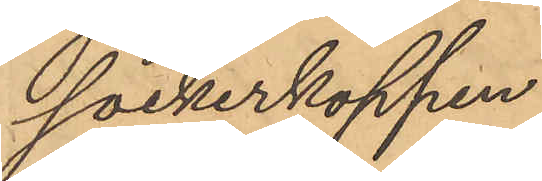sockerkoppen
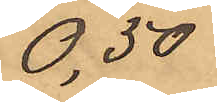0,50
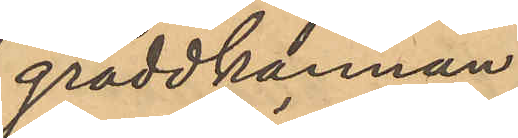gräddkannan
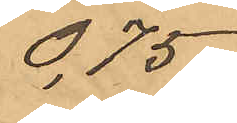0,75
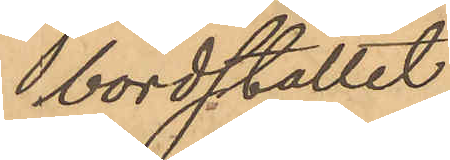bordstället
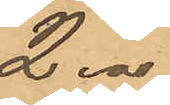2.00
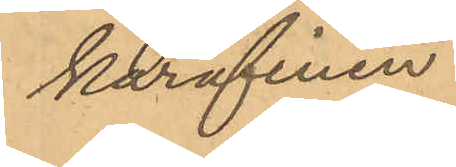karafinen
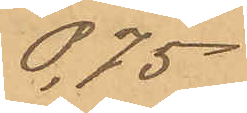0,75
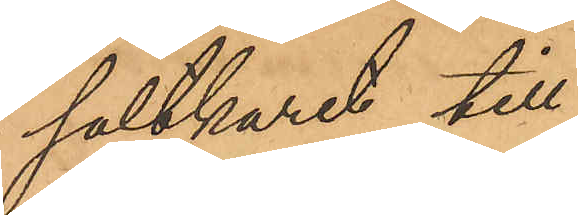saltkaret till
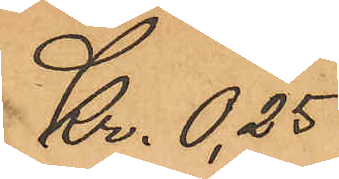Kr. 0,25
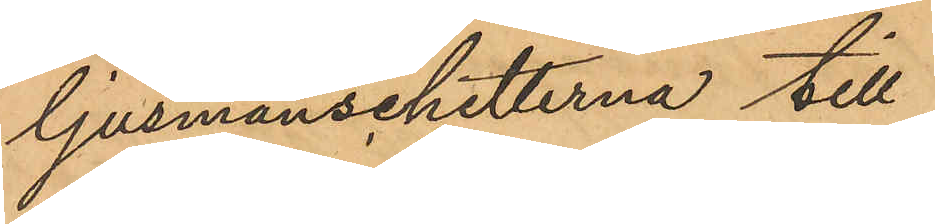ljusmanschetterna till
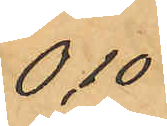0,10
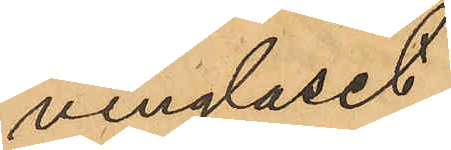vinglaset
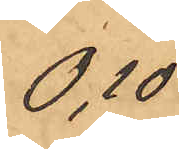0,10
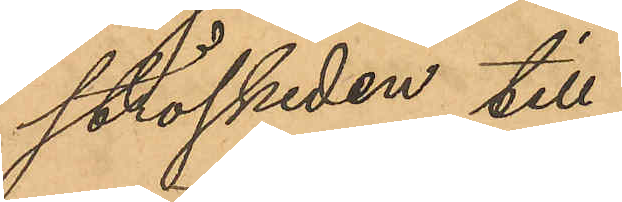ströskeden till
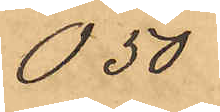0,50
